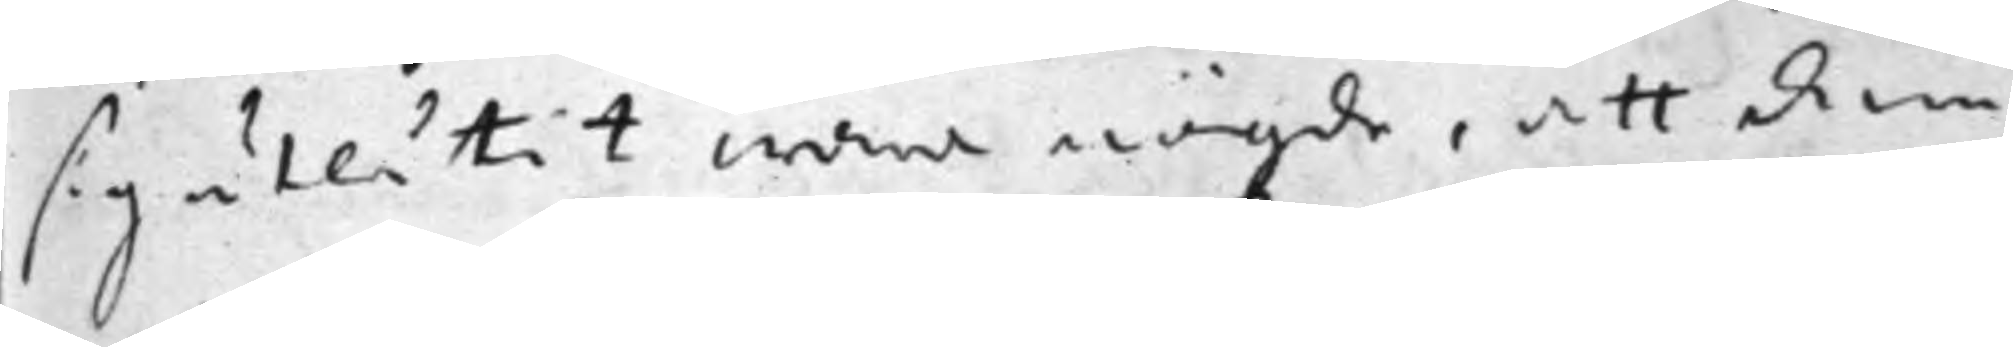sig utlåtit wara nögde, att inom
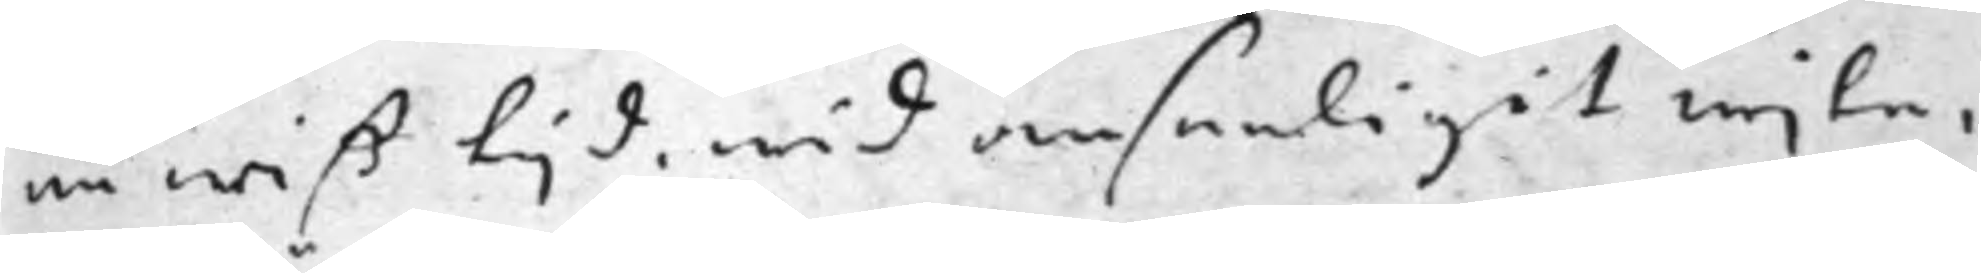en wiß tijd, wid ansenligit wite,
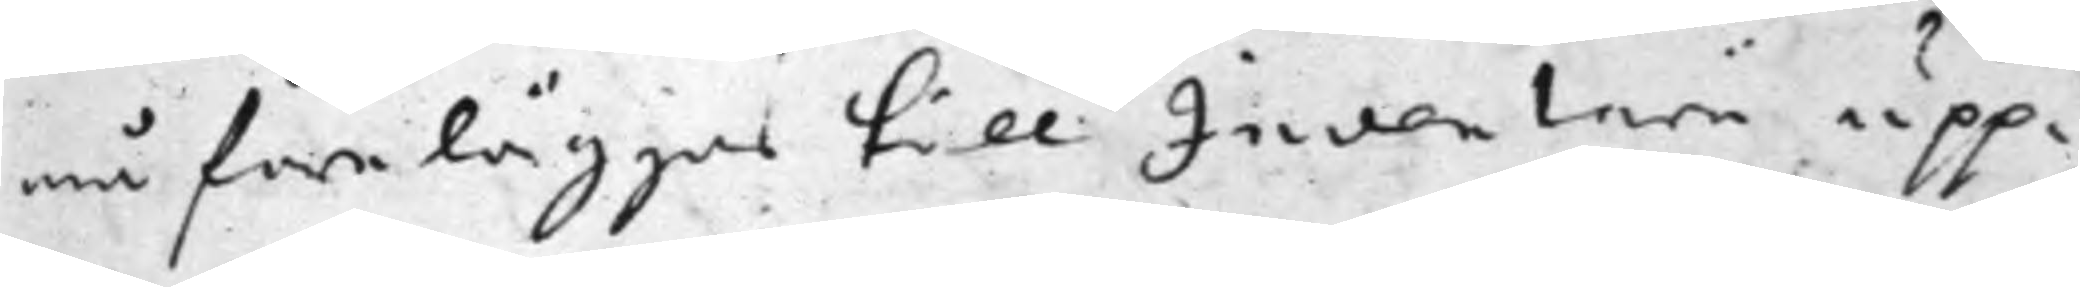må föreläggas till Inventarii upp¬
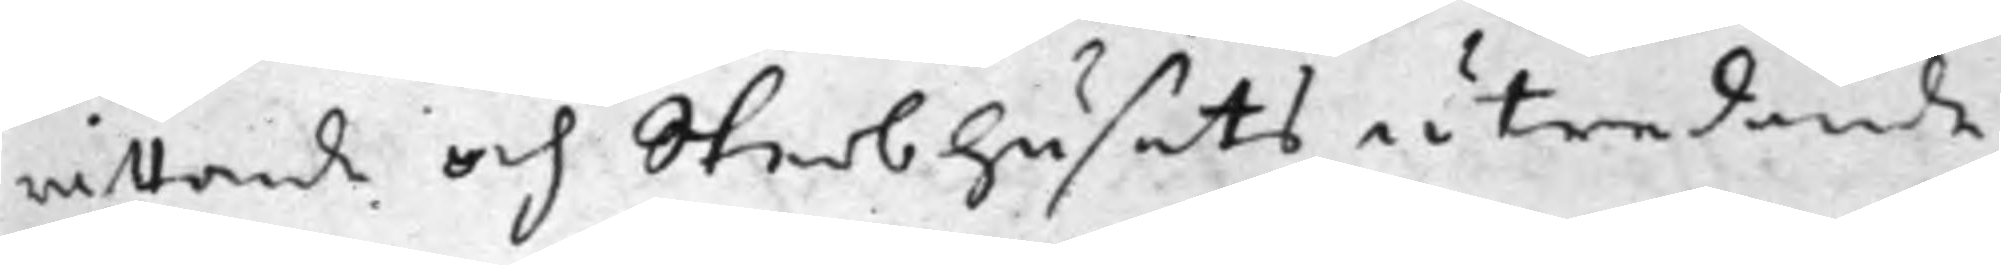rättande och Sterbhusets utredande
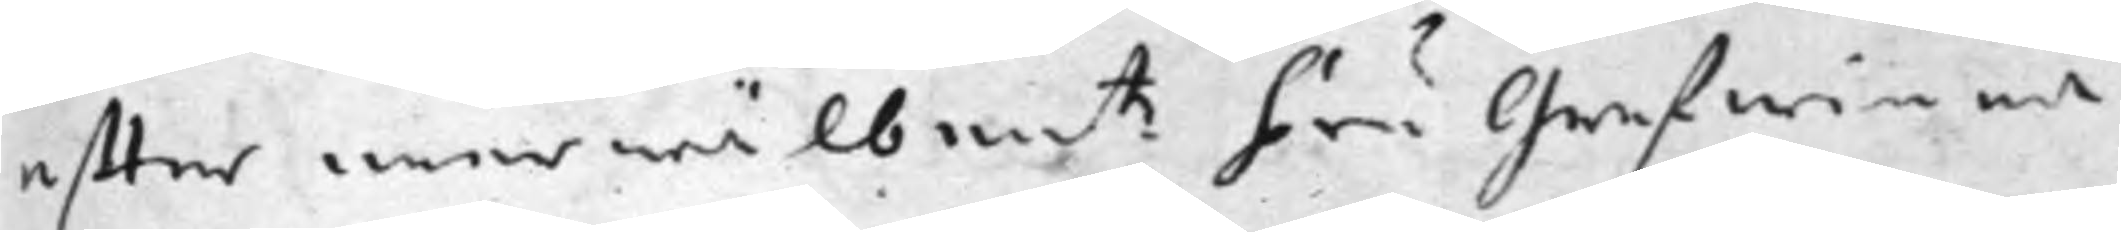effter merwälbem.te Fru Grefwinna
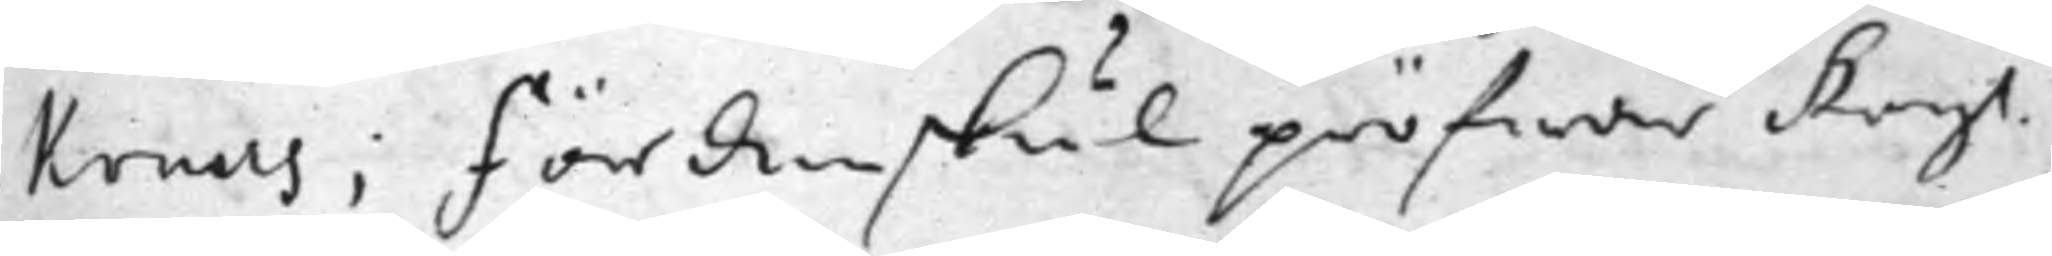Kruus; Fördenskul pröfwar Kongl.
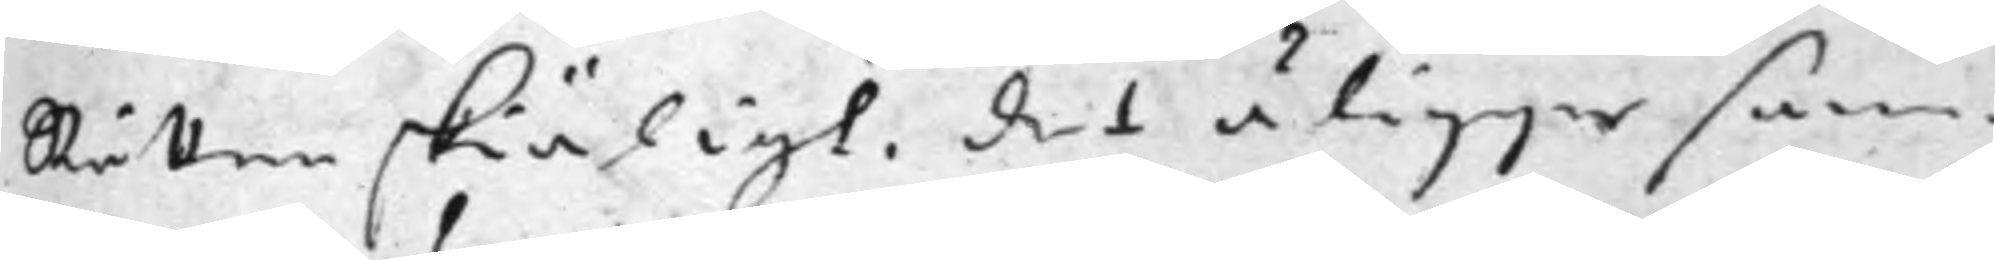Rätten skiäligt, det åligger sam¬
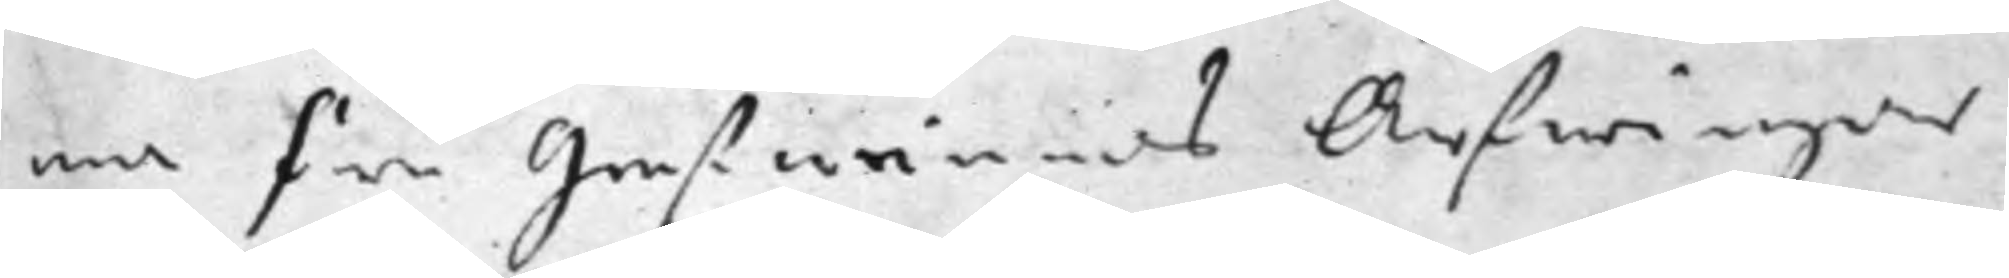ma Fru Grefwinnas Arfwingar
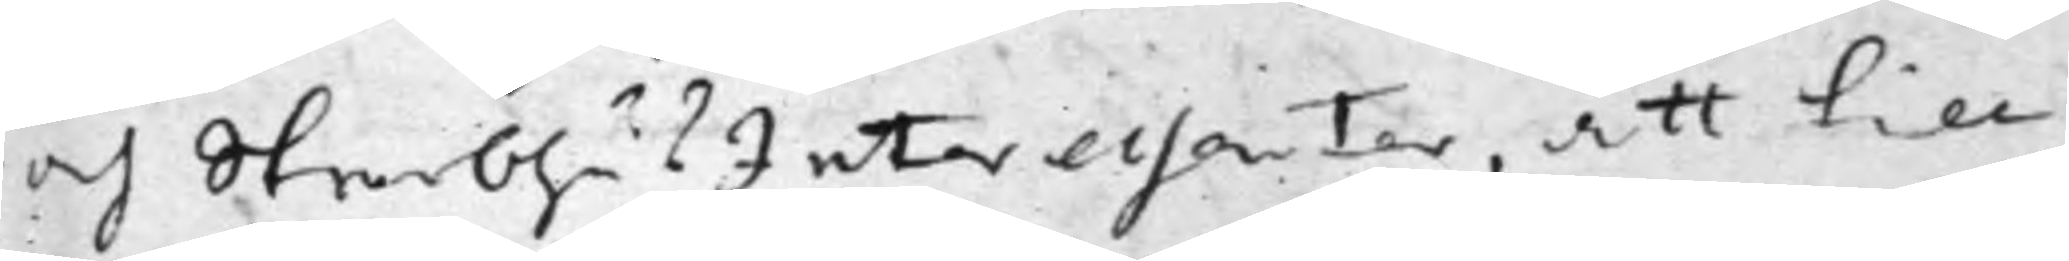och SterbhusInteressenter, att till
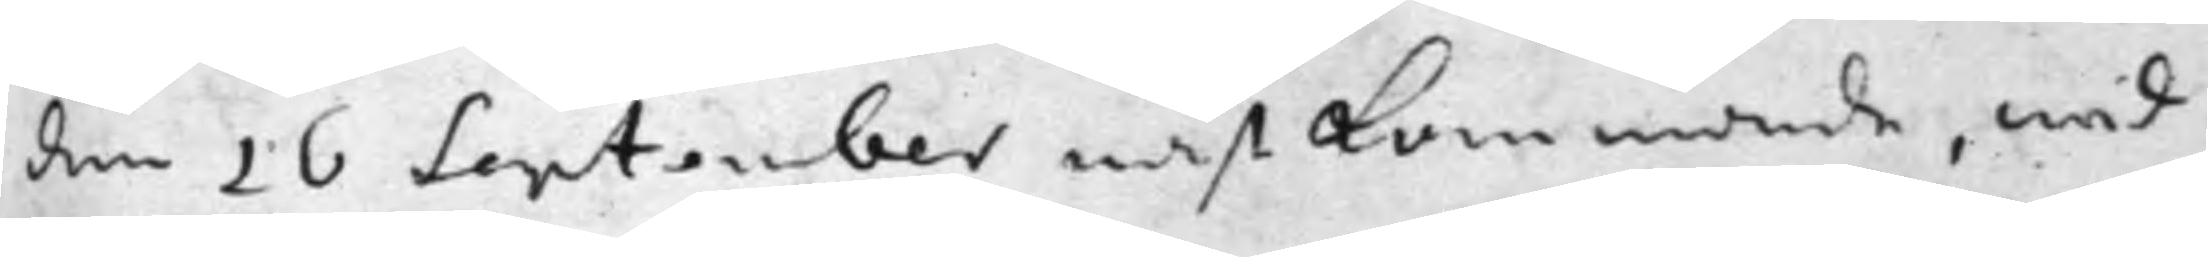den 16 September nästkommande, wid
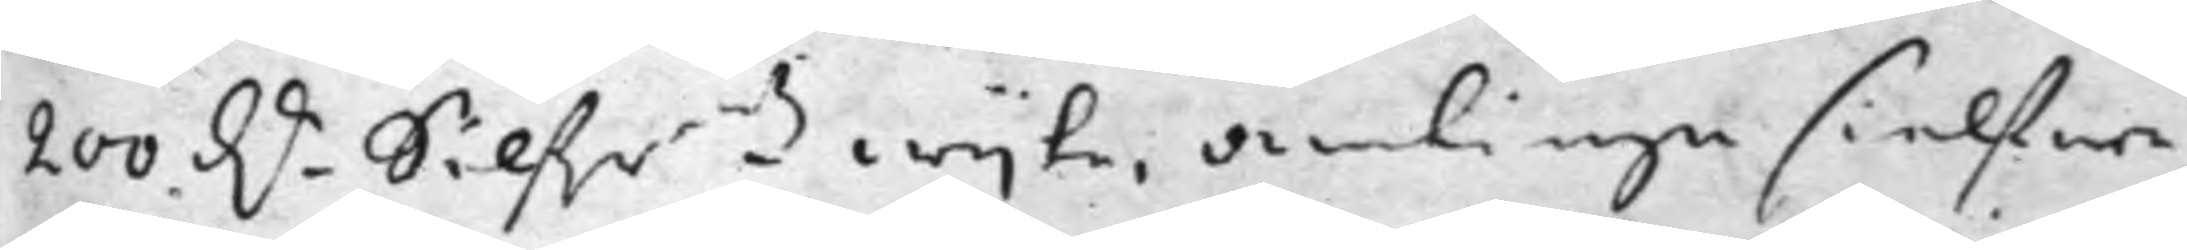200 D.r Silf.r.mtz wijte, antingen sielfwa
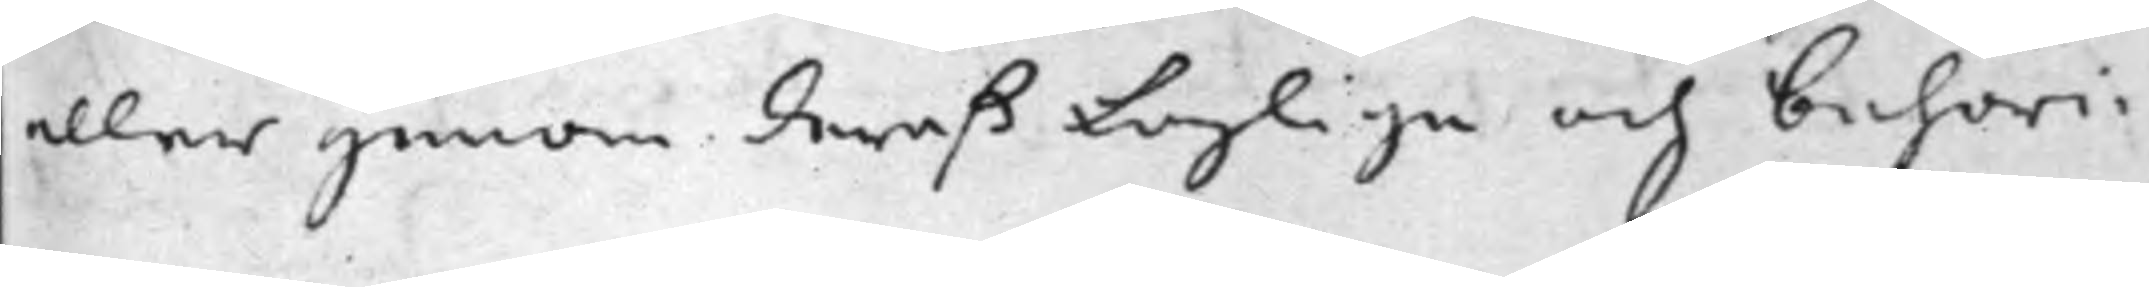eller genom deraß Laglige och behöri¬
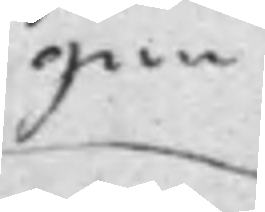gen
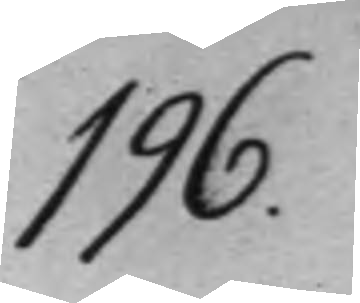 196.
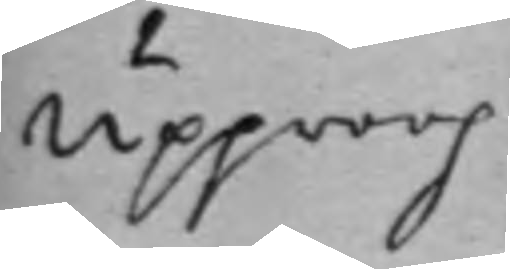Upproop
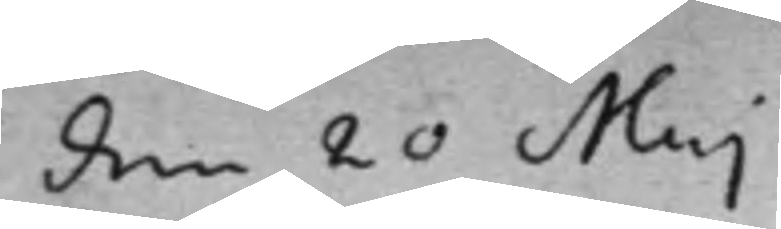den 20 Maj
